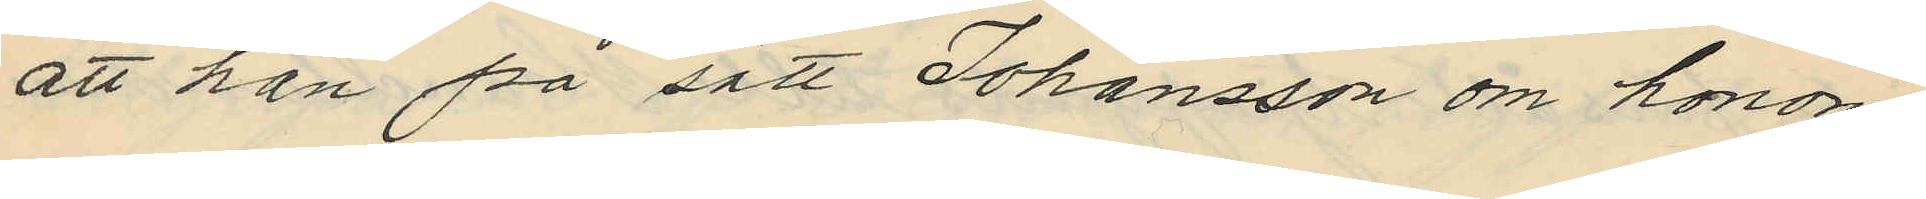att han på sätt Johansson om honom
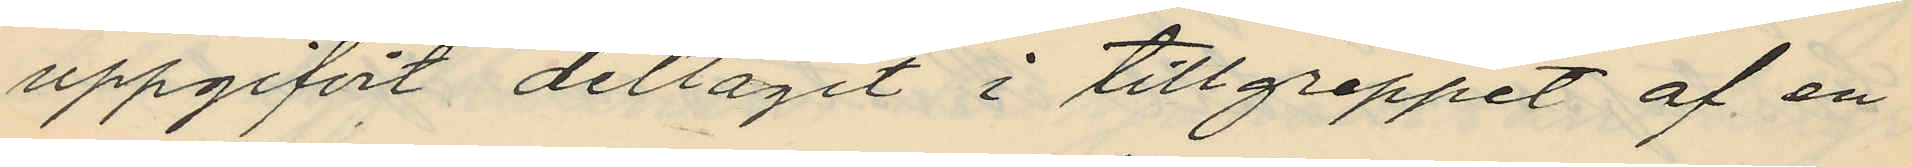uppgifvit deltagit i tillgreppet af en
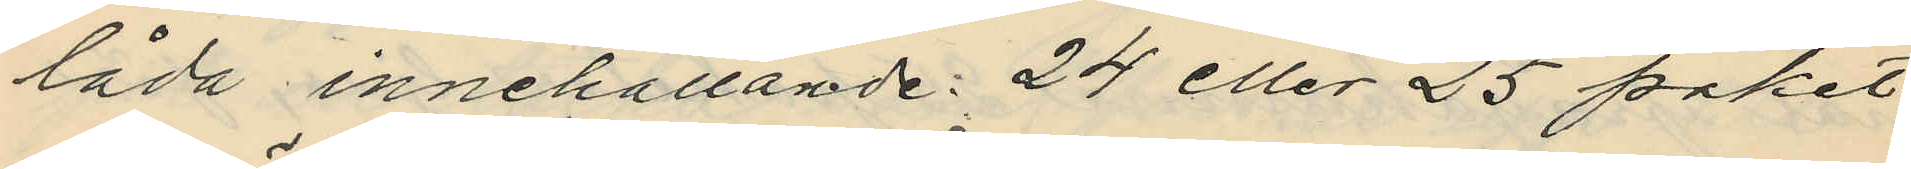låda innehållande 24 eller 25 paket
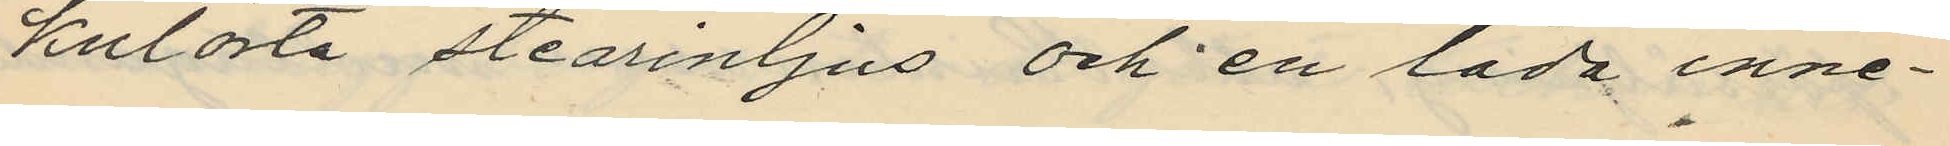kulörta stearinljus och en låda inne¬
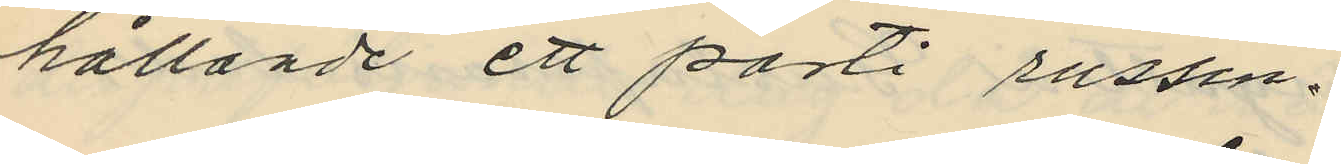hållande ett parti russin.
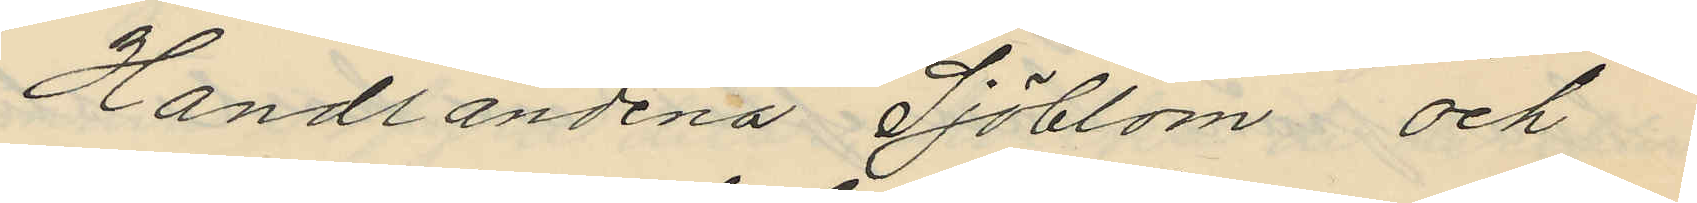Handlandena Sjöblom och
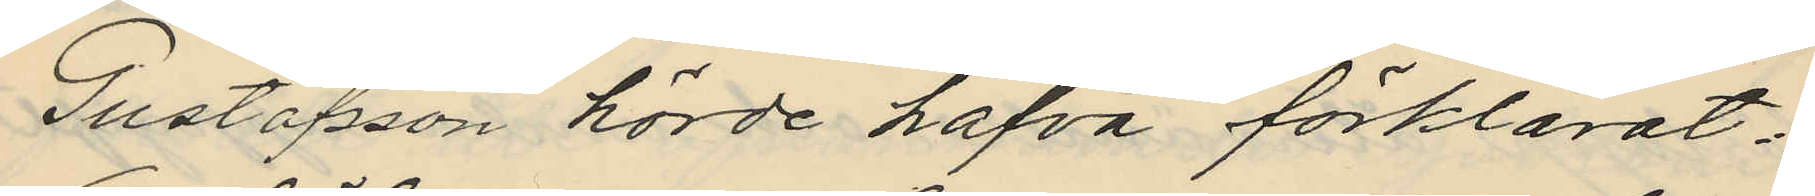Gustafsson hörde hafva förklarat:
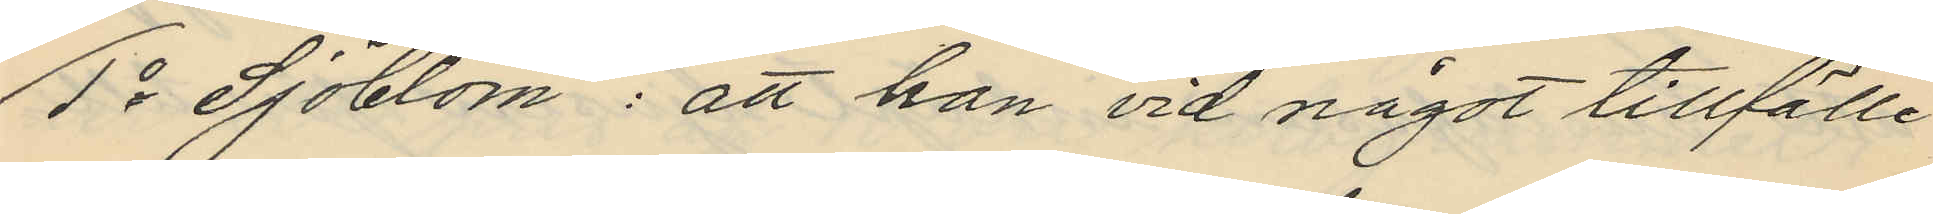1o Sjöblom: att han vid något tillfälle
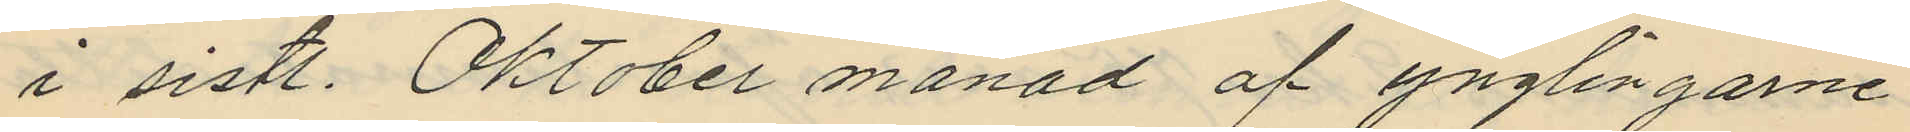i sistl. Oktober månad af ynglingarne
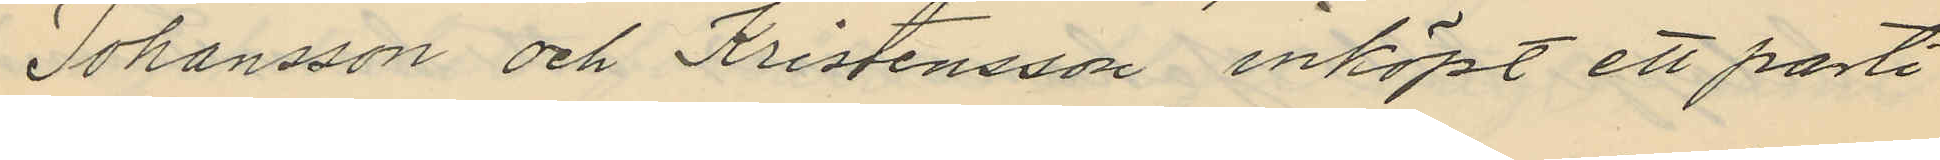Johansson och Kristensson inköpt ett parti
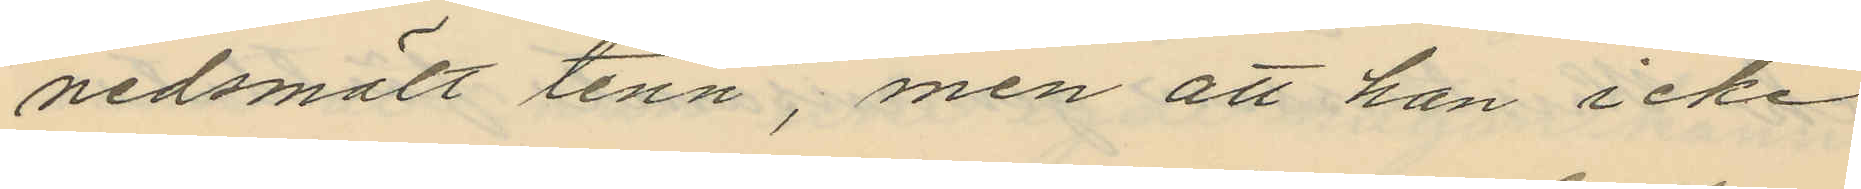nedsmält tenn, men att han icke
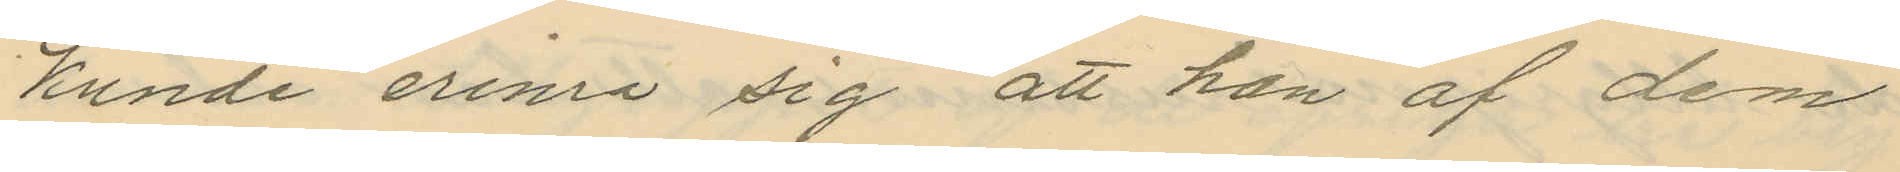kunde erina sig att han af dem
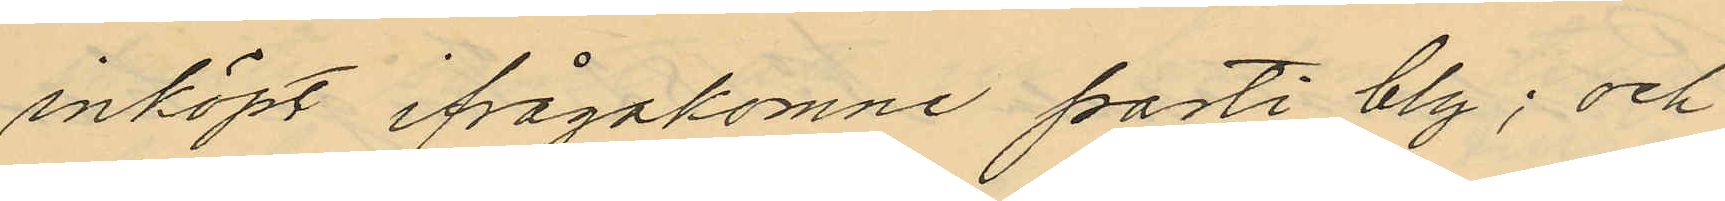inköpt ifrågakomne parti bly; och
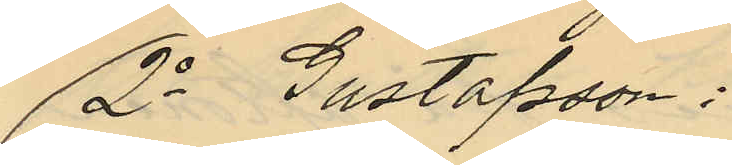2o Gustafson:
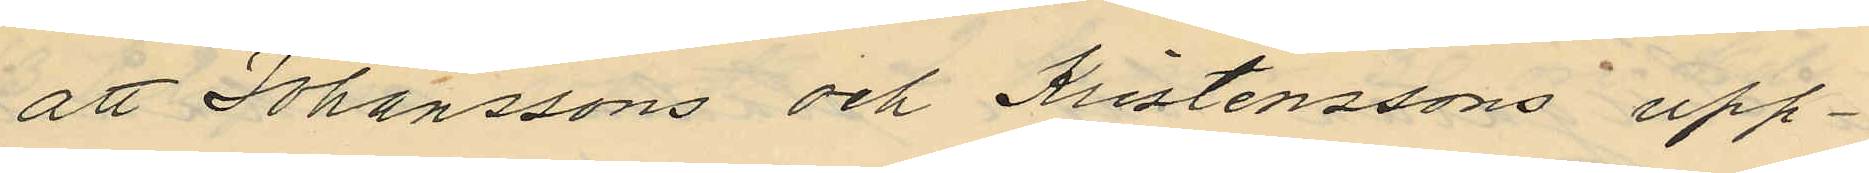att Johanssons och Kristenssons upp¬
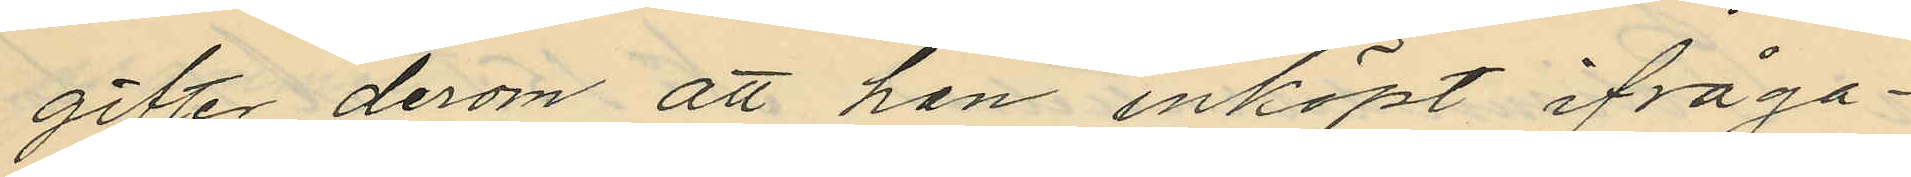gifter derom att han inköpt ifråga¬
